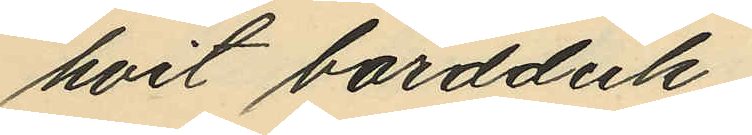hvit bordduk;
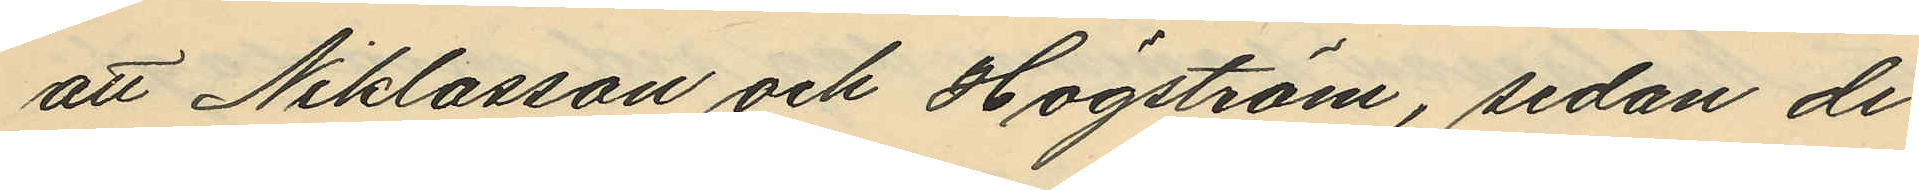att Niklasson och Högström, sedan de
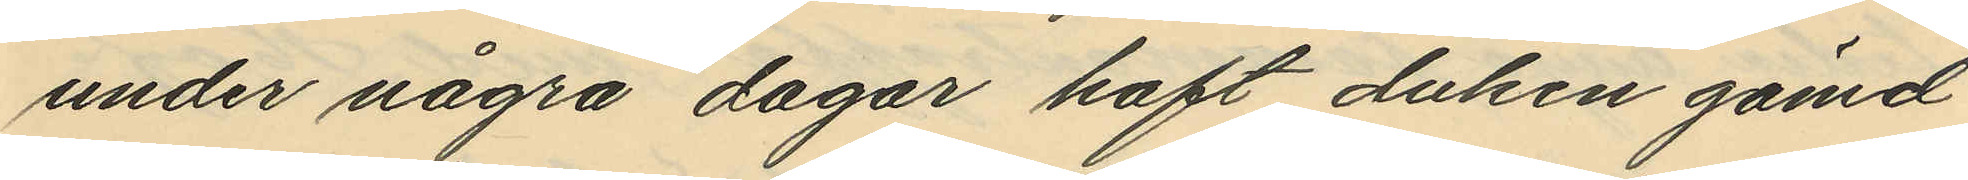under några dagar haft duken gömd
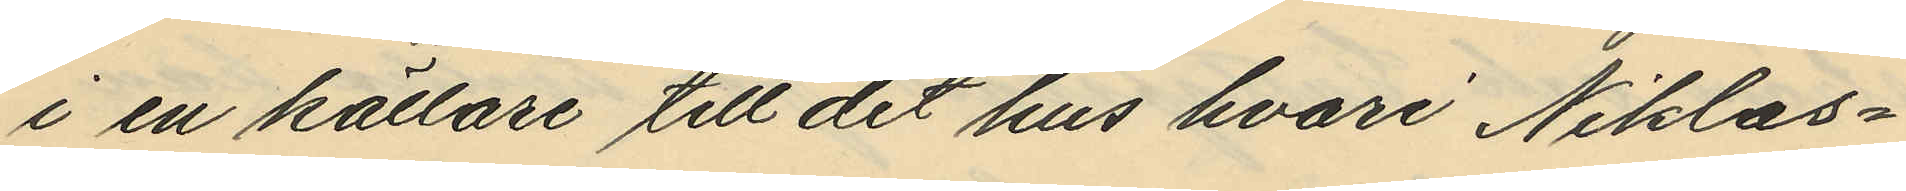i en källare till det hus hvari Niklas¬
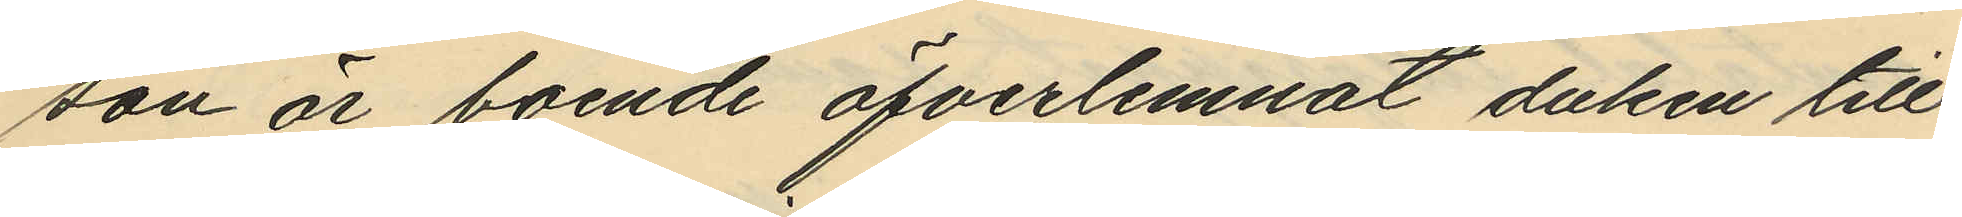son är boende öfverlemnat duken till
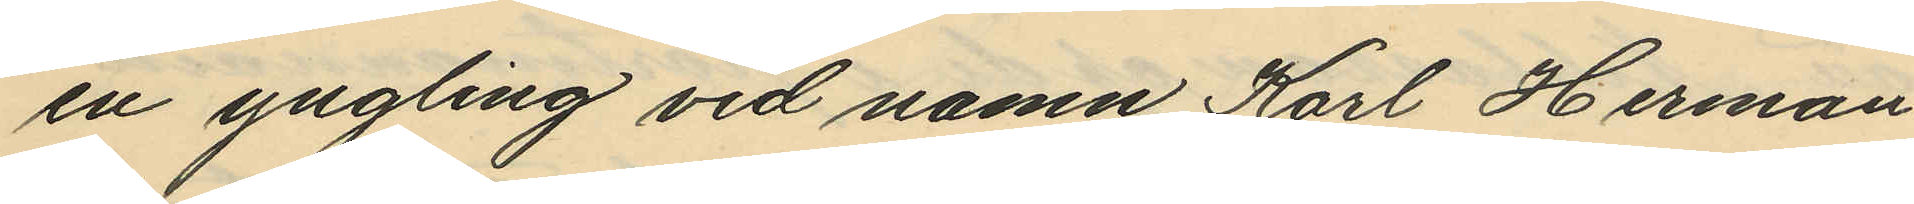en yngling vid namn Karl Herman
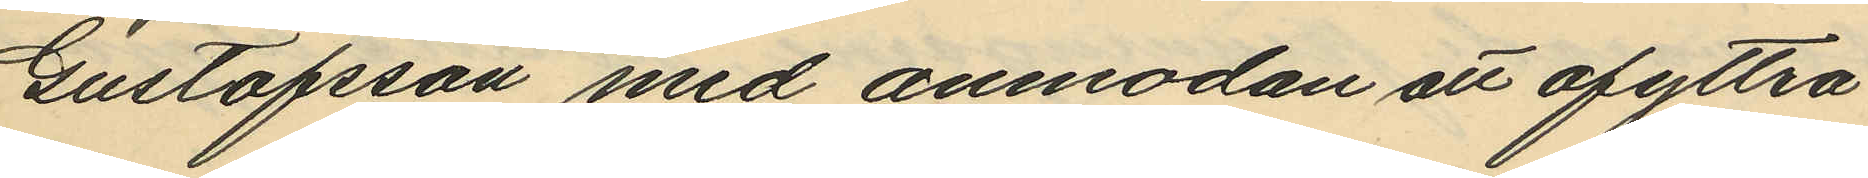Gustafsson med anmodan att afyttra
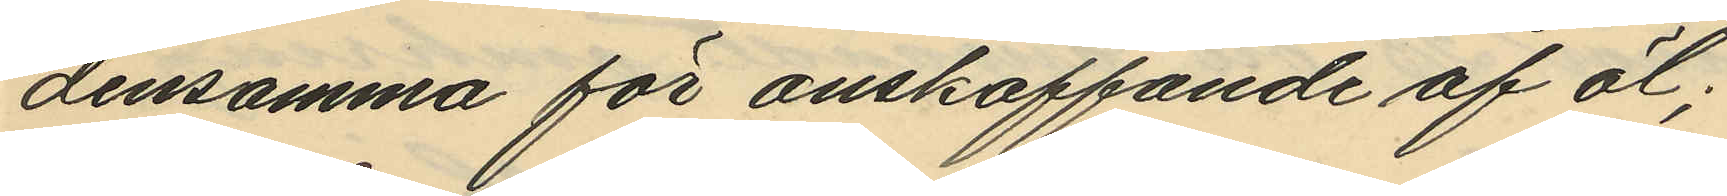densamma för anskaffande af öl;
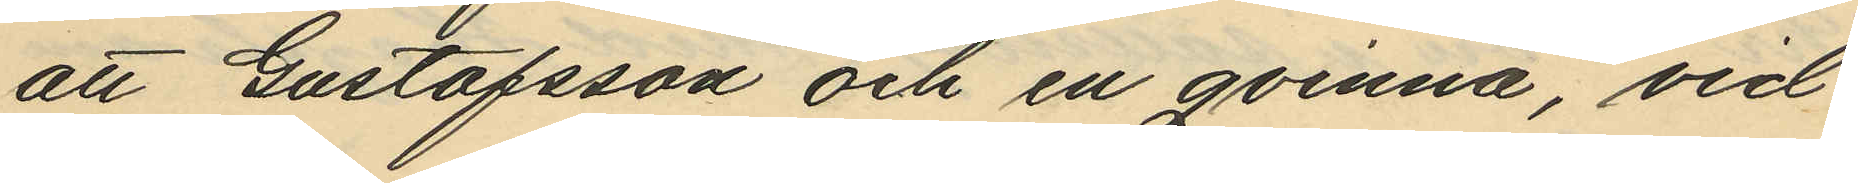att Gustafsson och en qvinna, vid
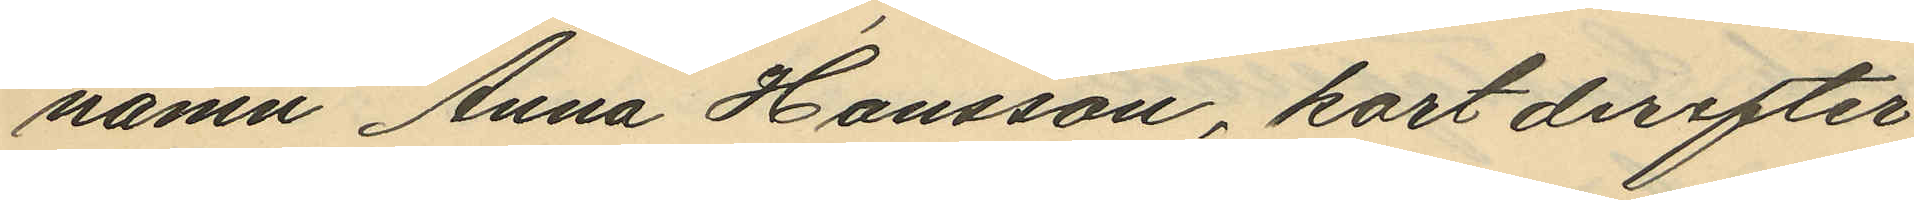namn Anna Hansson, kort derefter
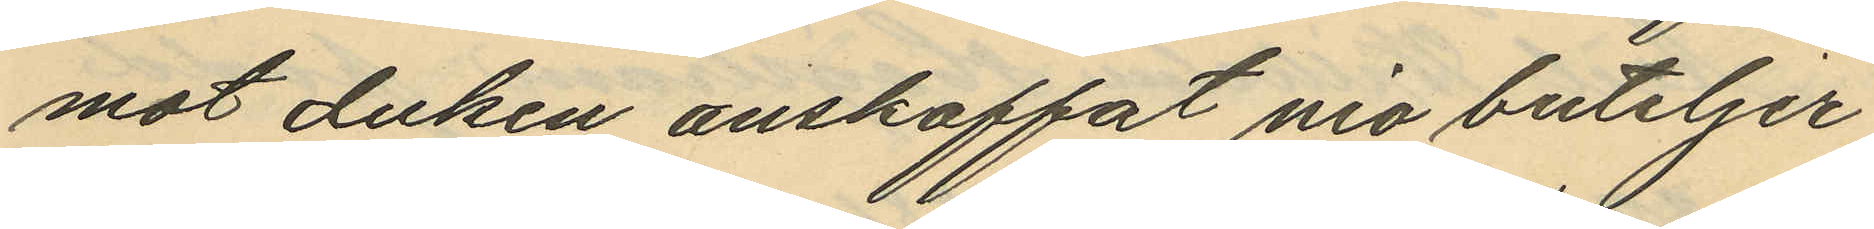mot duken anskaffat nio buteljer
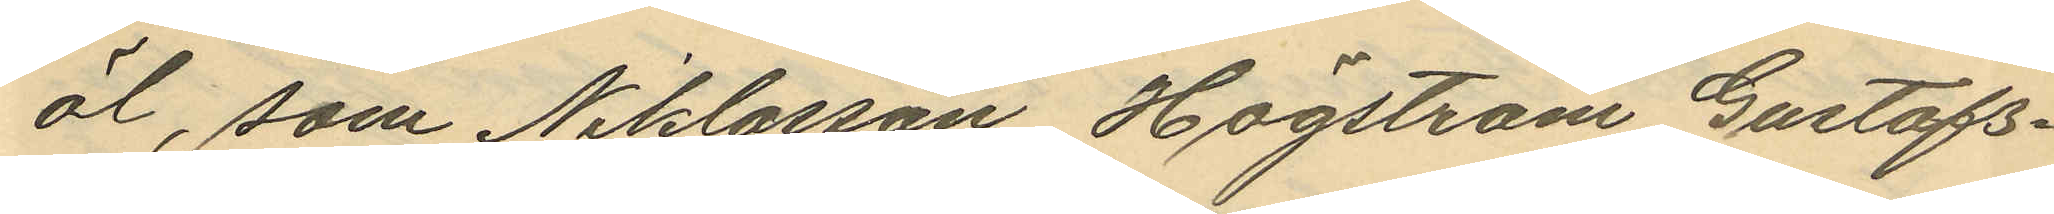öl, som Niklasson, Högström, Gustafs¬
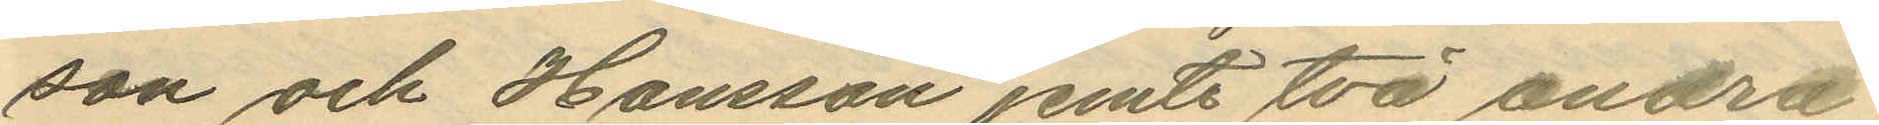son och Hansson jemte två andra
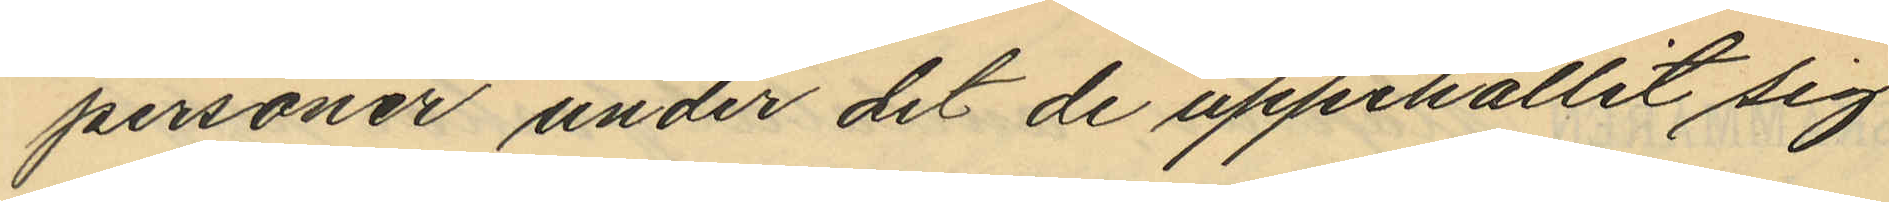personer under det de uppehållit sig
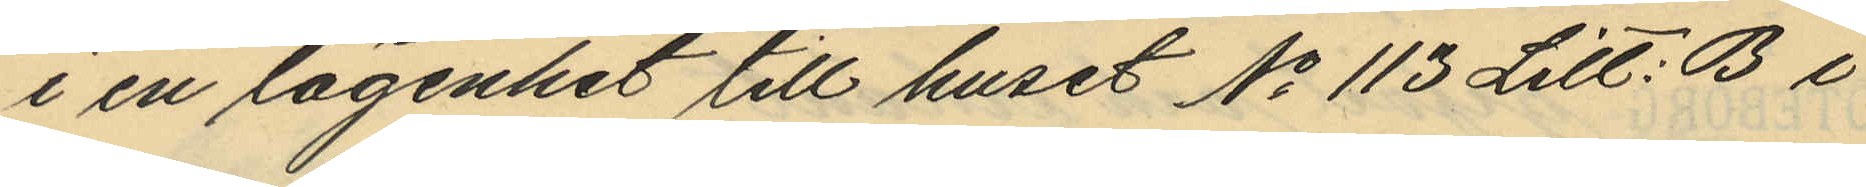i en lägenhet till huset No 113 Litt: B i
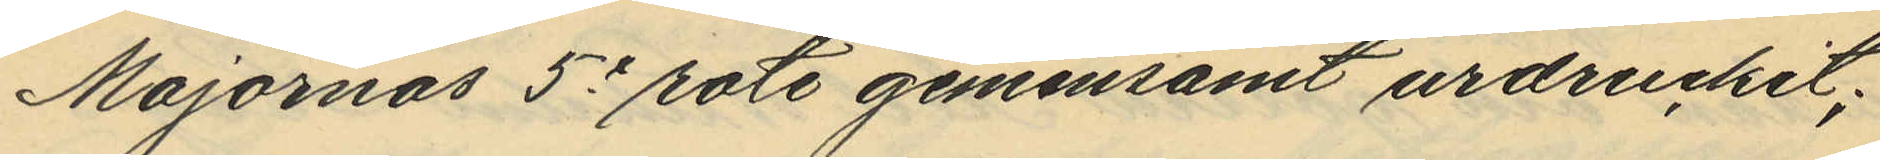Majornas 5e rote gemensamt urdruckit;
